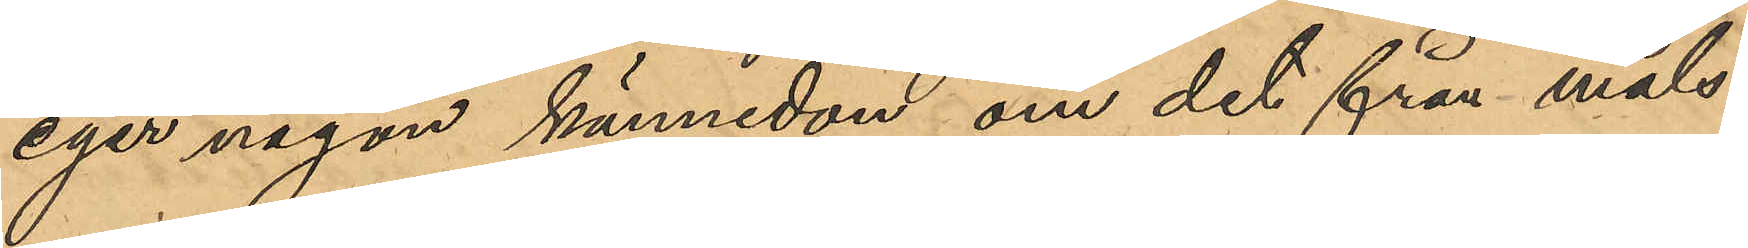eger någon kännedon om det från måls¬
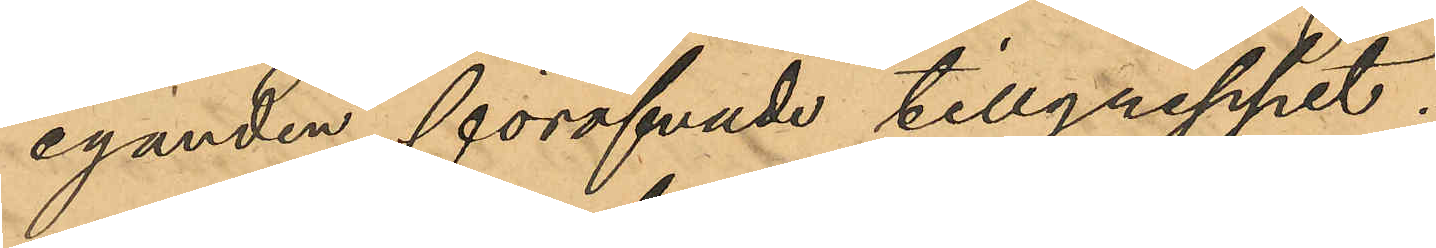eganden föröfvade tillgreppet.
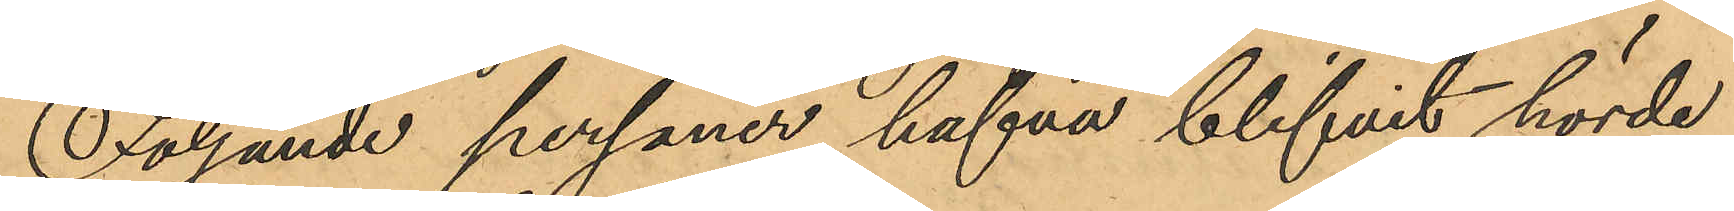Följande personer hafva blifvit hörde
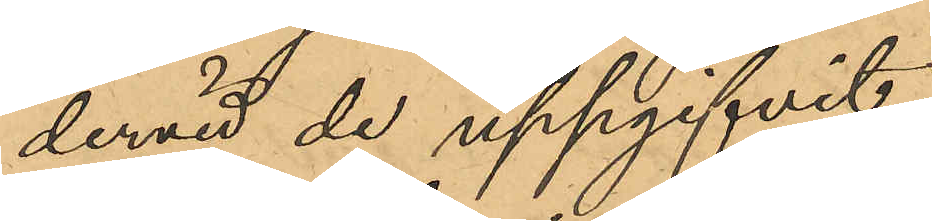dervid de uppgifvit:
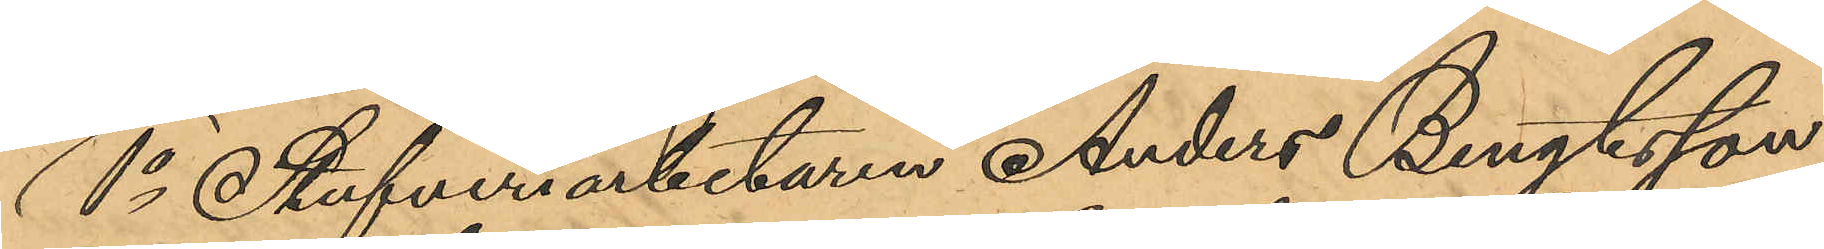1o Stufveriarbetaren Anders Bengtsson,
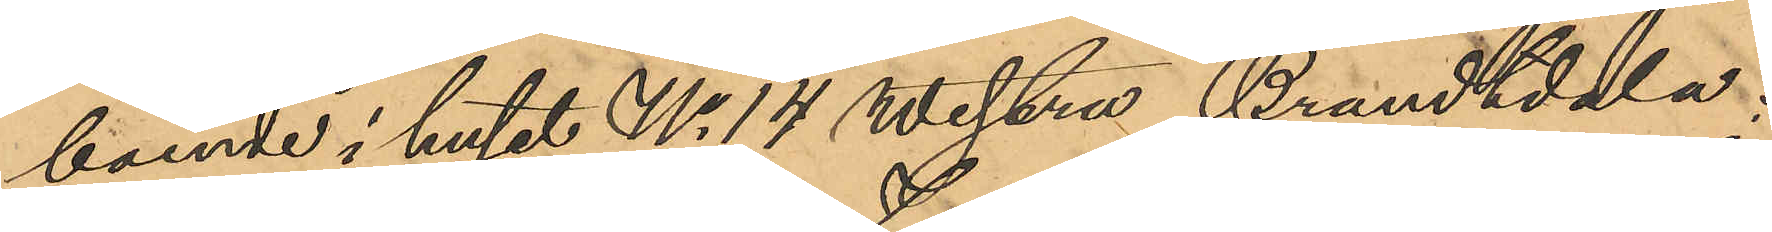boende i huset No 14 Westra Brandtdala;
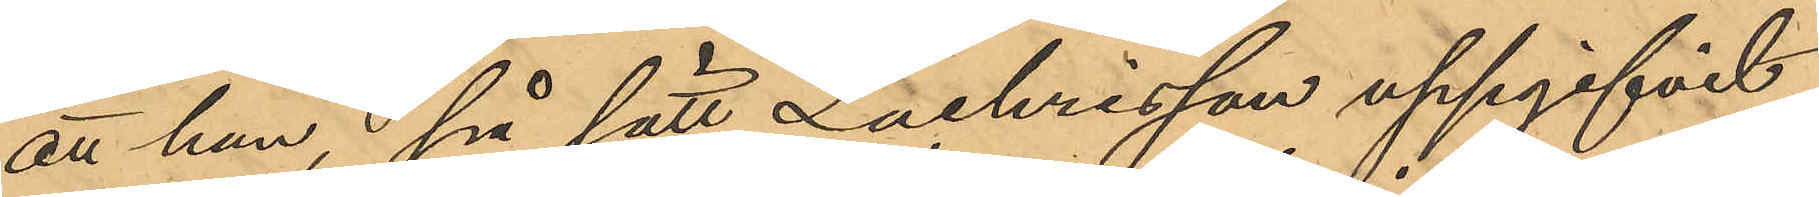att han, på sätt Zachrisson uppgifvit
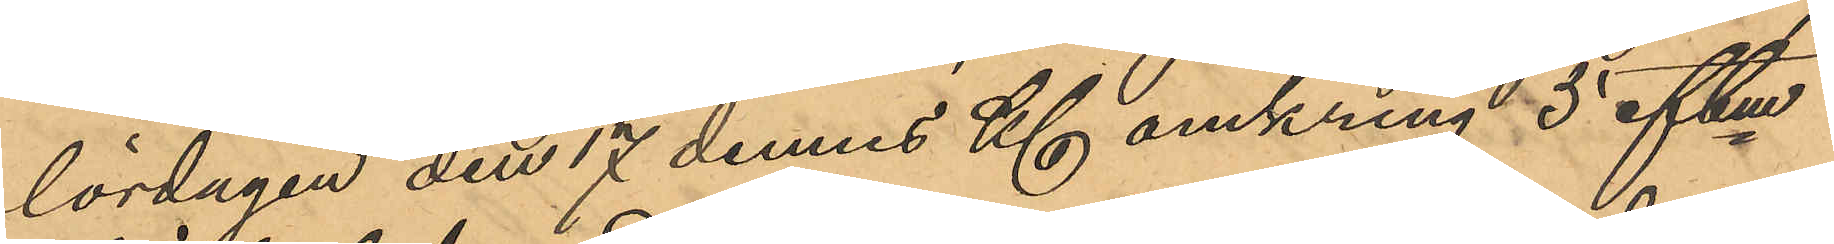lördagen den 17 dennes Kl omkring 5 eftm
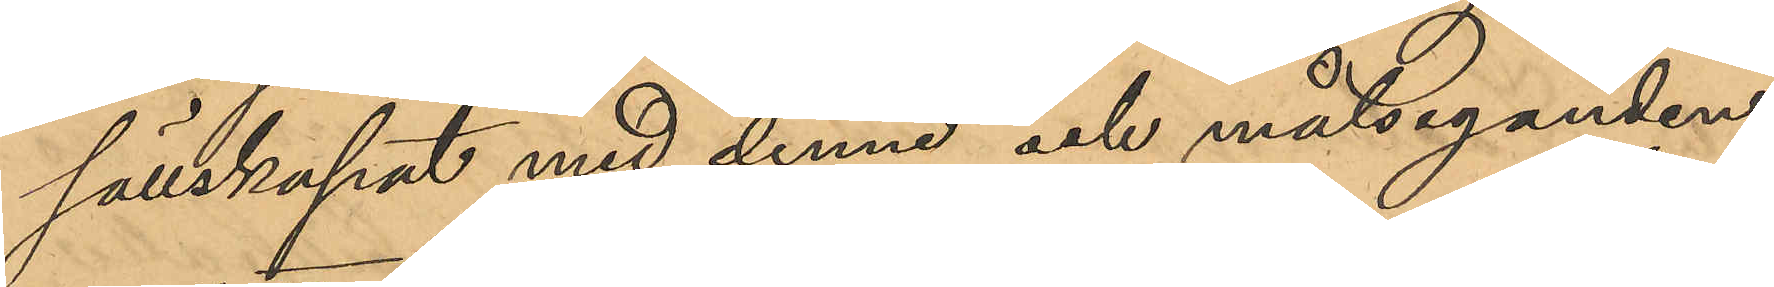sällskapat med denne och målseganden
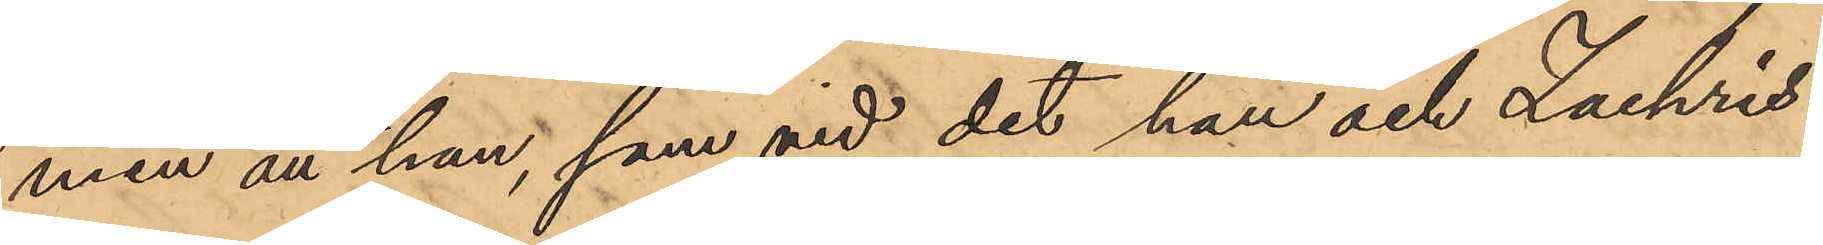men att han, som vid det han och Zachris¬
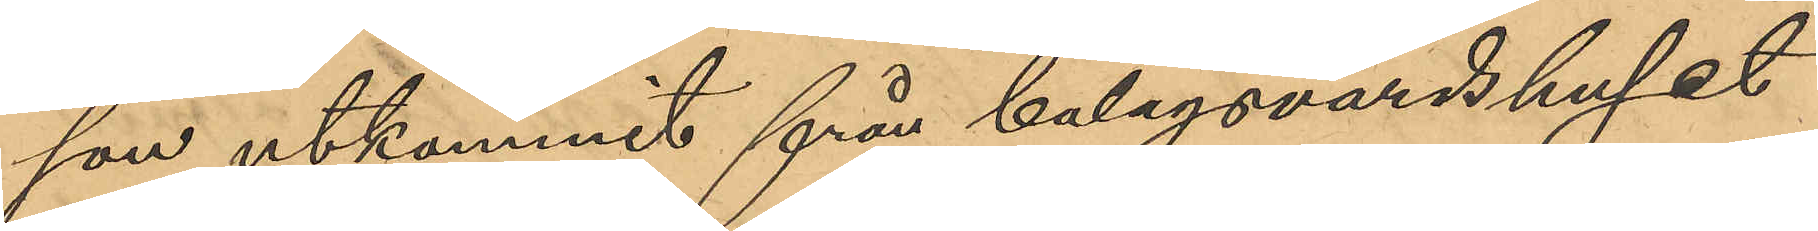son utkommit från bolagsvärdshuset
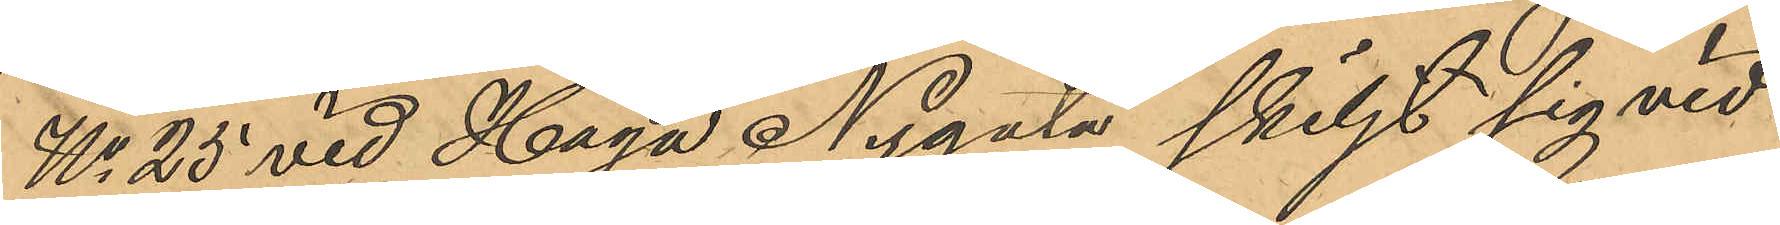No 25 vid Haga Nygarn skiljt sig vid
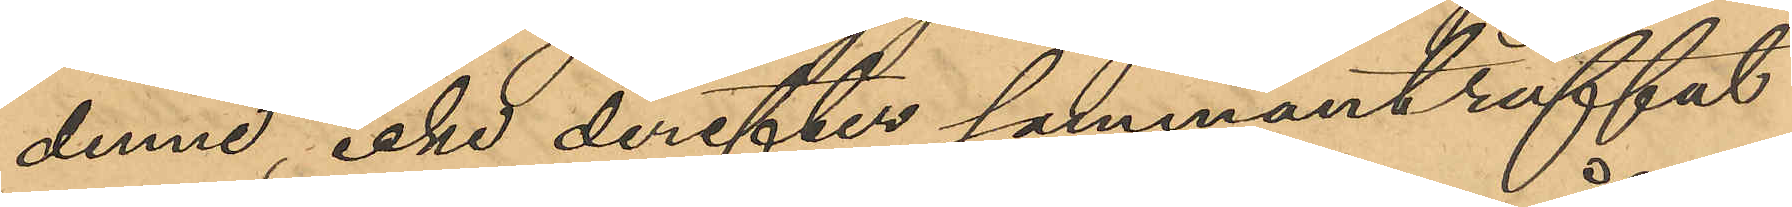denne, icke derefter sammanträffat
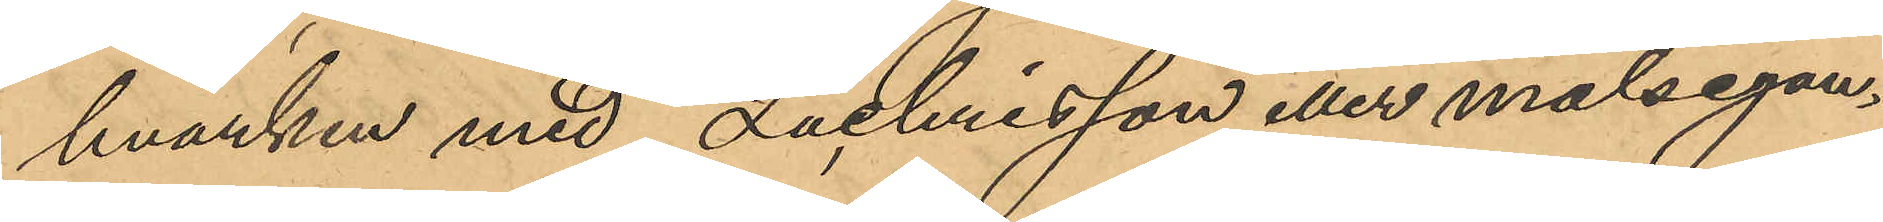hvarken med Zachrisson eller målsegan¬
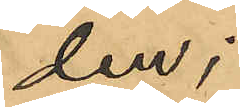den;
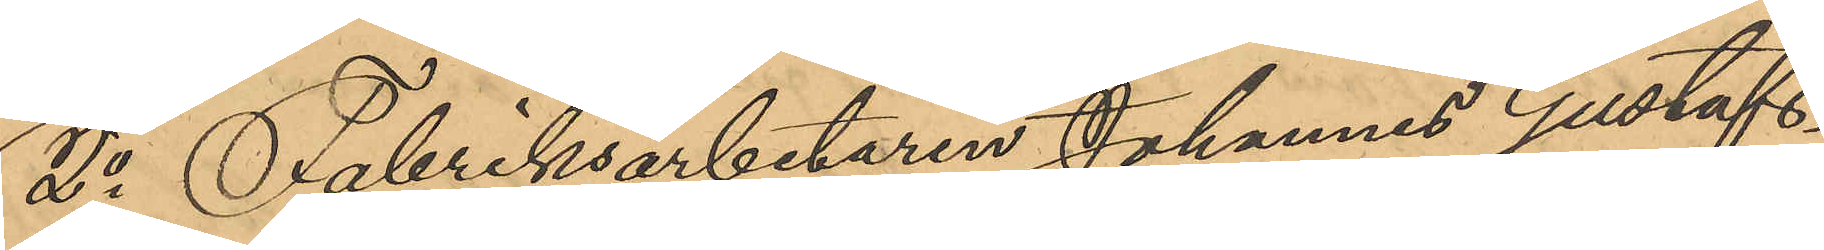2o Fabriksarbetaren Johannes Gustafs¬
